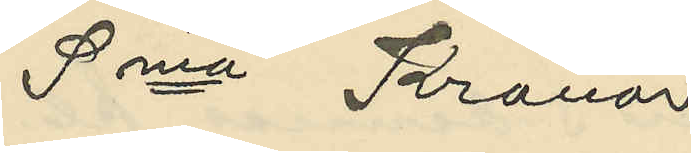Sma Kronor
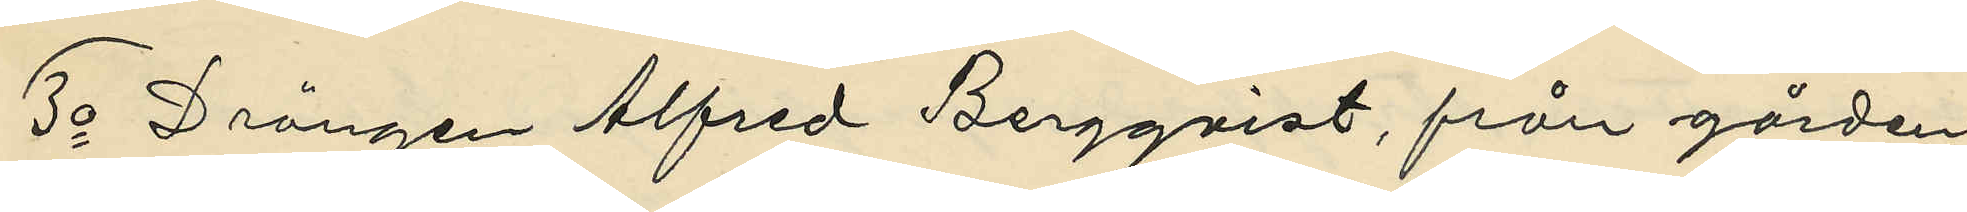3o Drängen Alfred Berggvist, från gården
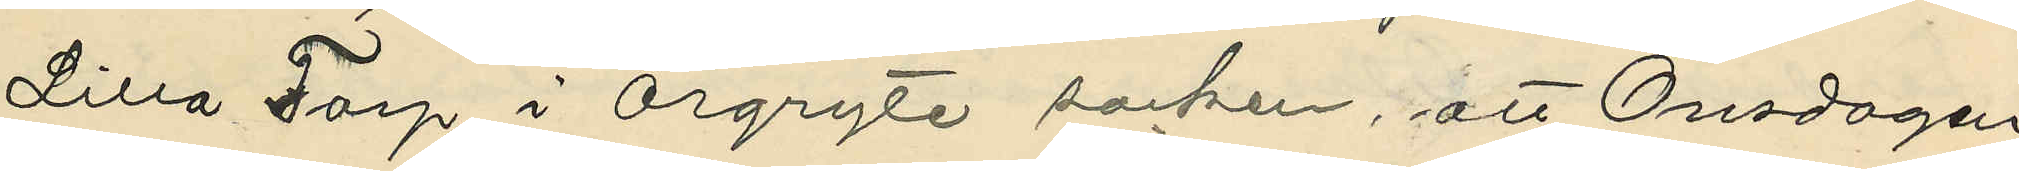Lilla Torp i Örgryte socken, att Onsdagen
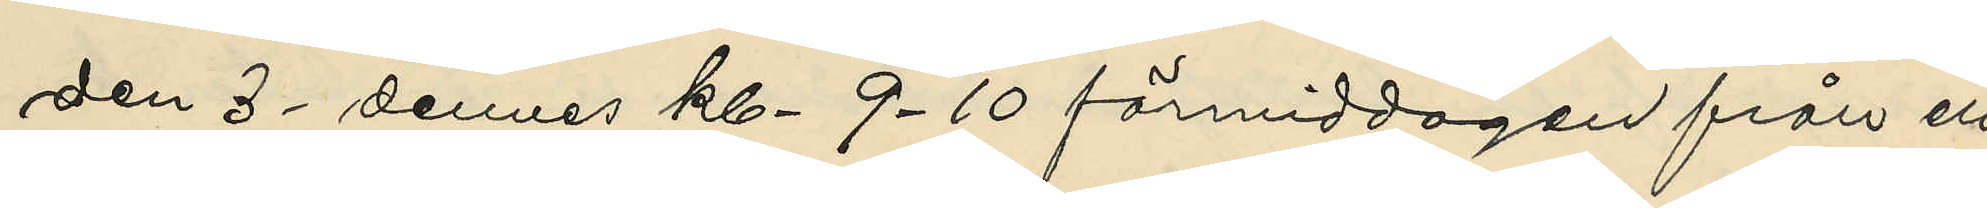den 3 dennes kl. 9-10 förmiddagen från ett
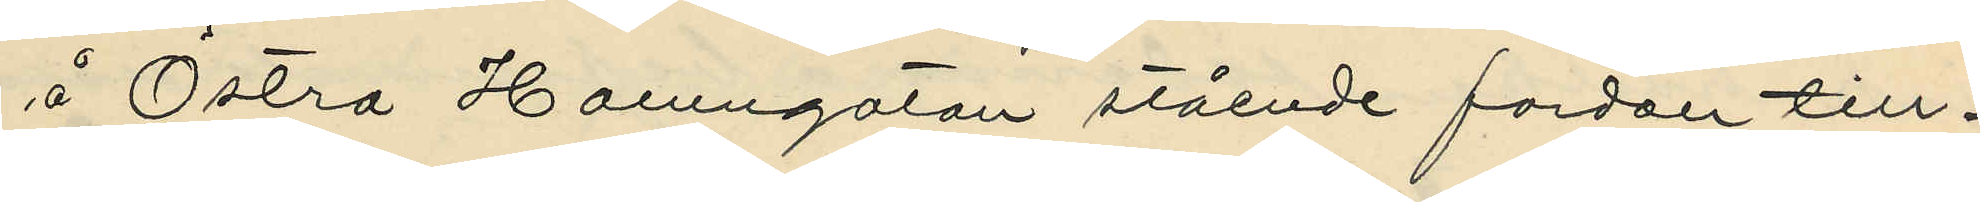å Östra Hamngatan stående fordon till¬
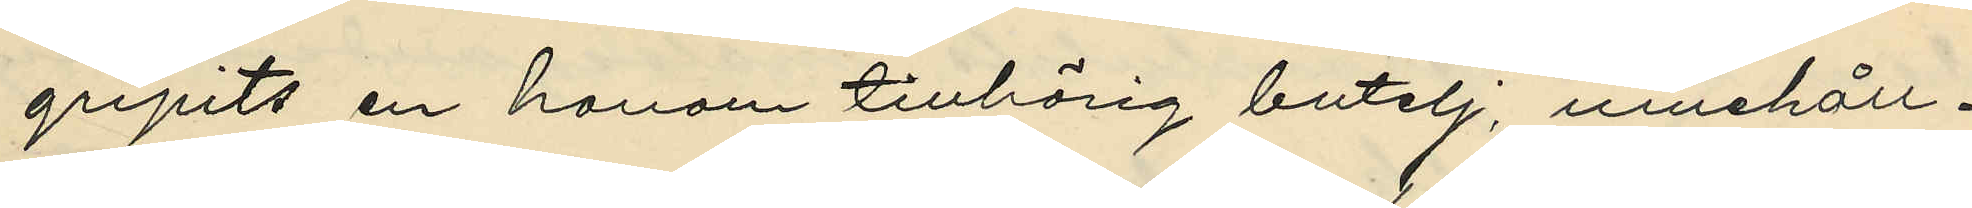gripits en honom tillhörig butelj; innehåll¬
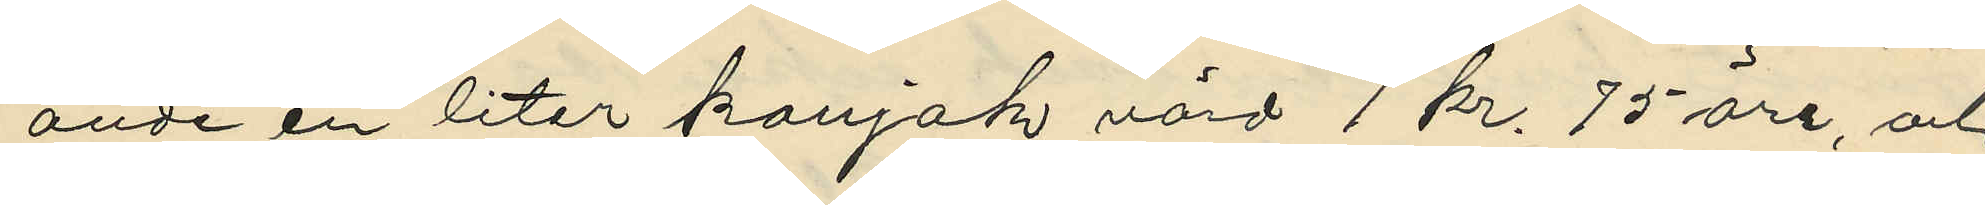ande en liter konjak värd 1 kr. 75 öre, och
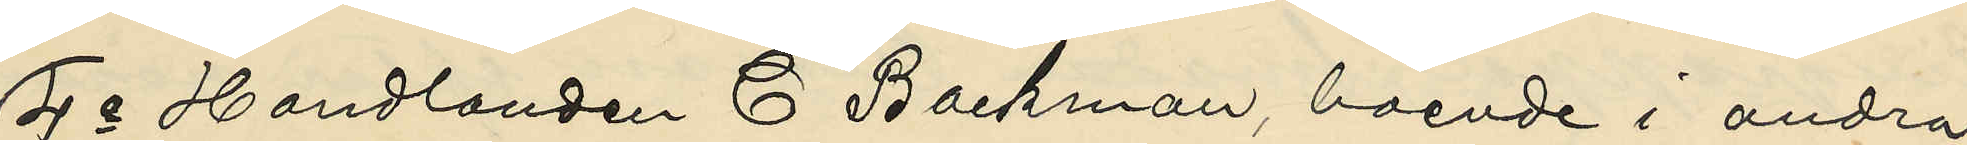4o Handlanden C. Backman, boende i andra
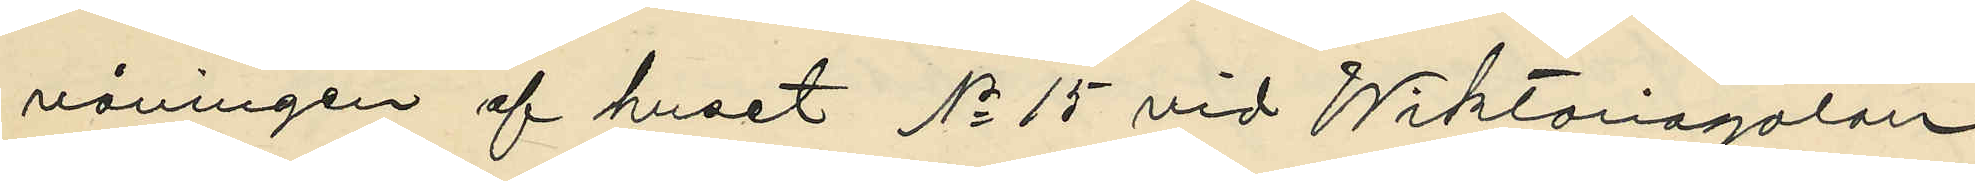våningen af huset No 15 vid Wiktoriagatan
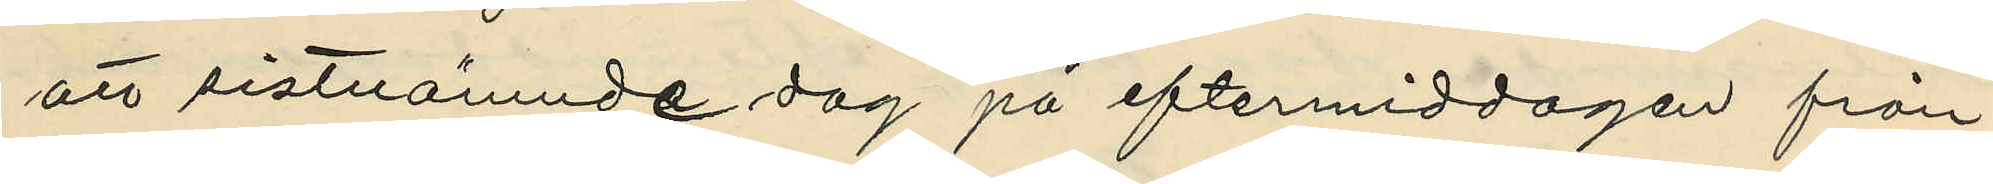att sistnämnde dag på eftermiddagen från
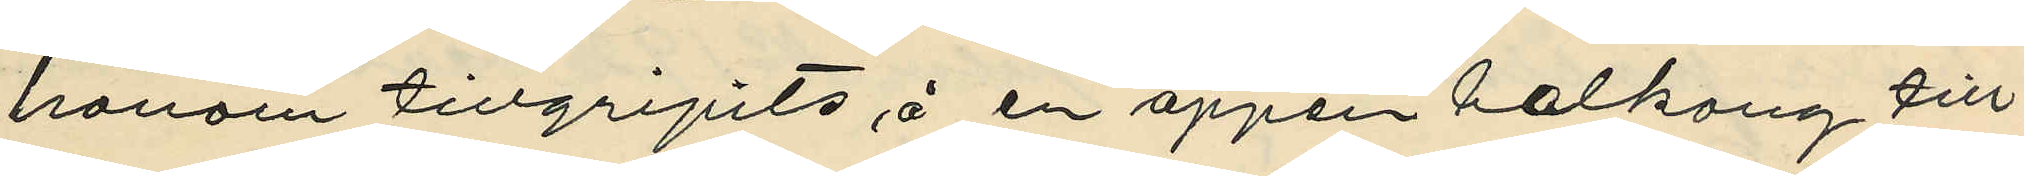honom tillgripits å en öppen balkong till¬
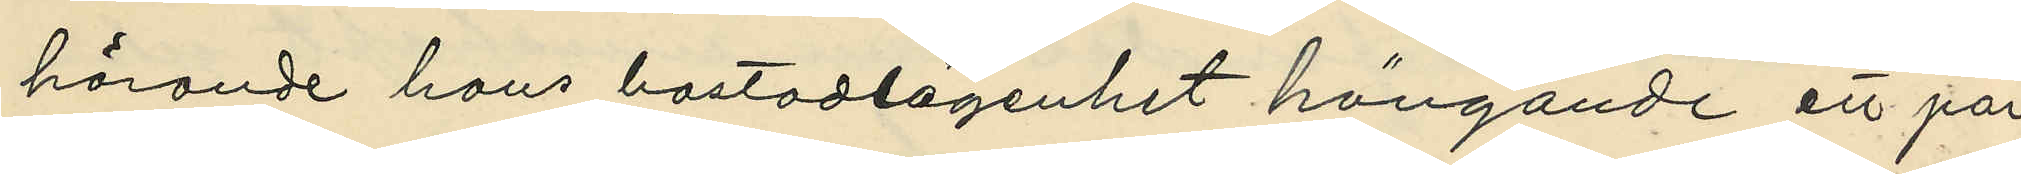hörande hans bostadlägenhet hängande ett par
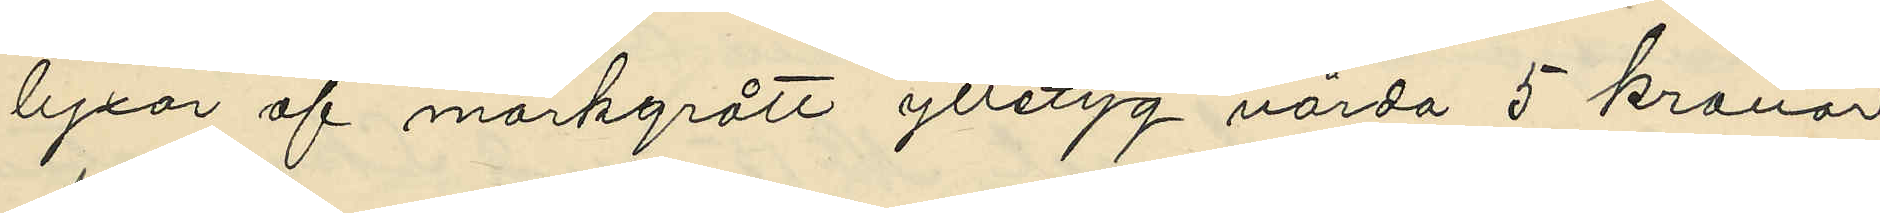lyxor af mörkgrått ylletyg värda 5 kronor
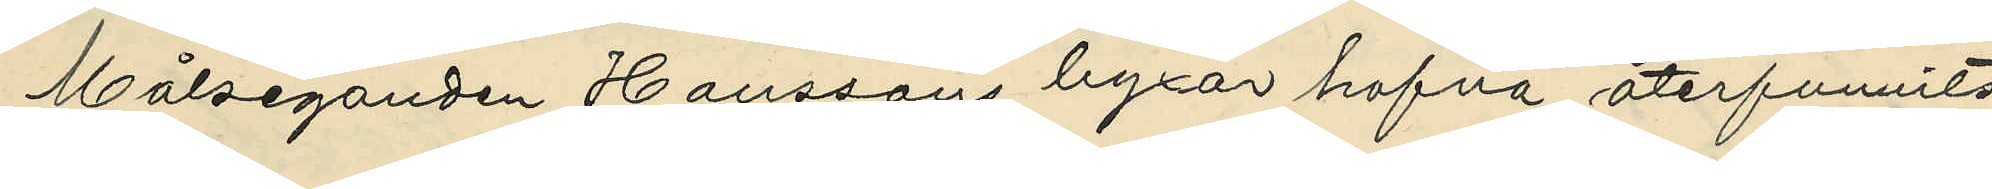Målseganden Hanssons byxor hafva återfunnits
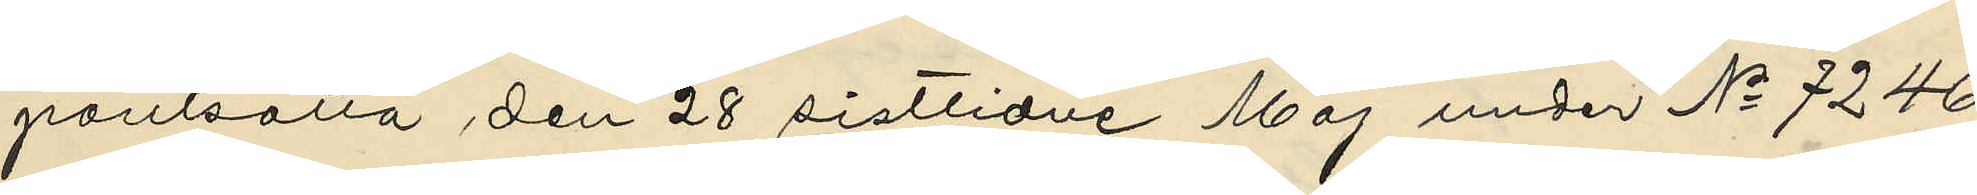pantsatta den 28 sistlidne Maj under No 7246,
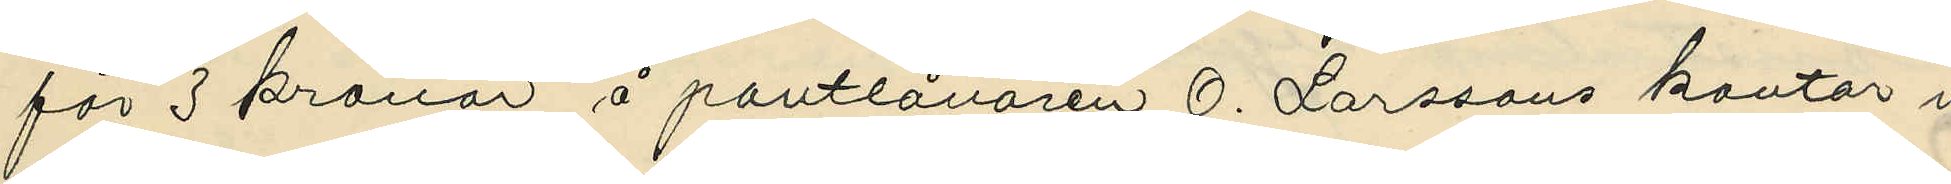för 3 kronor å pantlånaren O. Larssons kontor i
